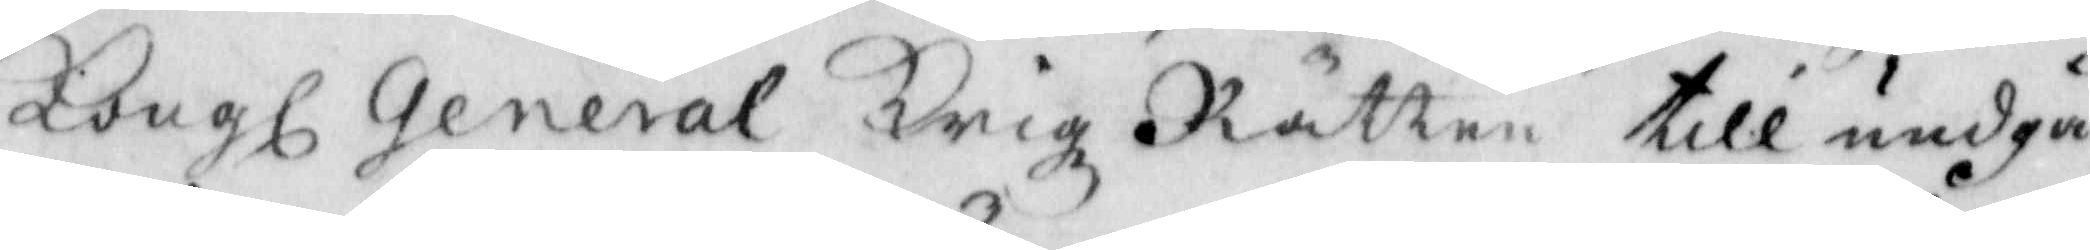Kongl General Krigz Rätten till undgå¬
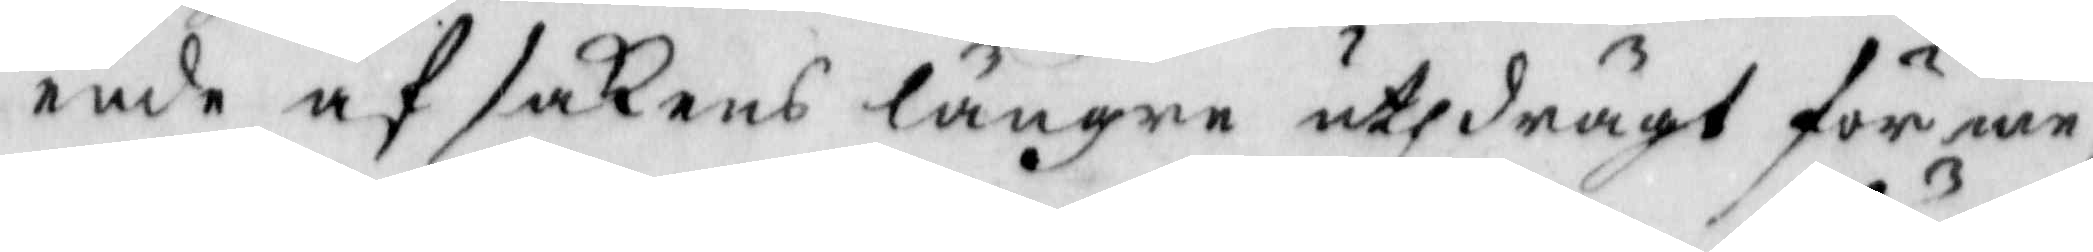ende af sakens längre uthdrägt förme¬
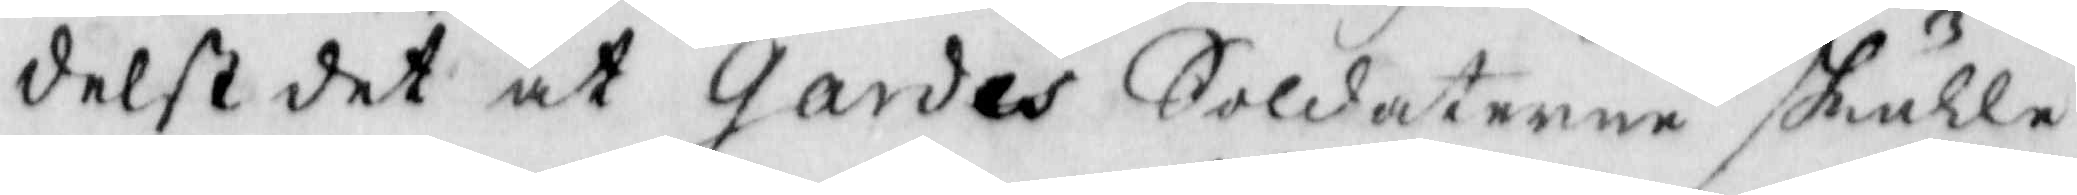delst det at Gardes Soldaterne skulle
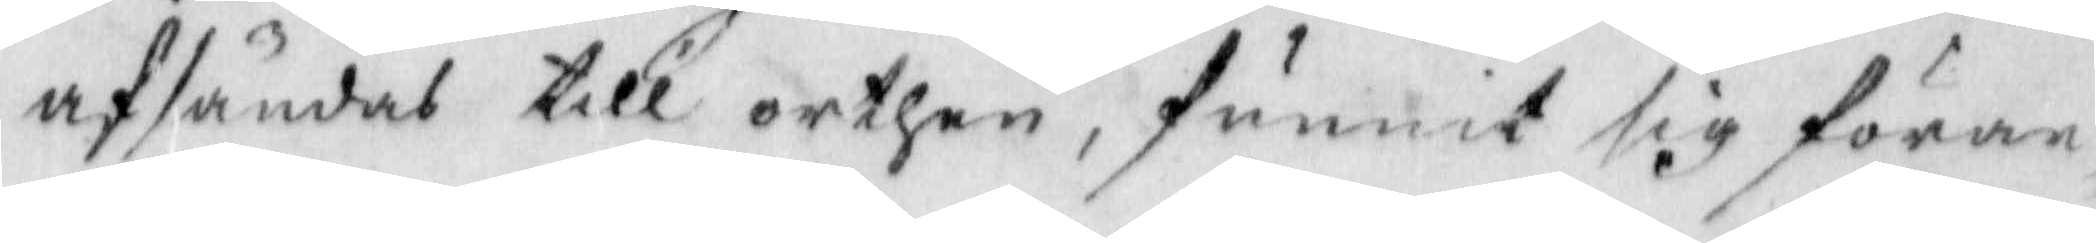afsändas till orthen, funnit sig föran¬
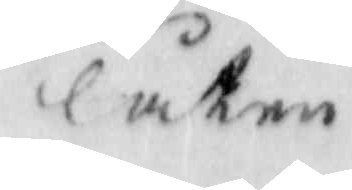låten
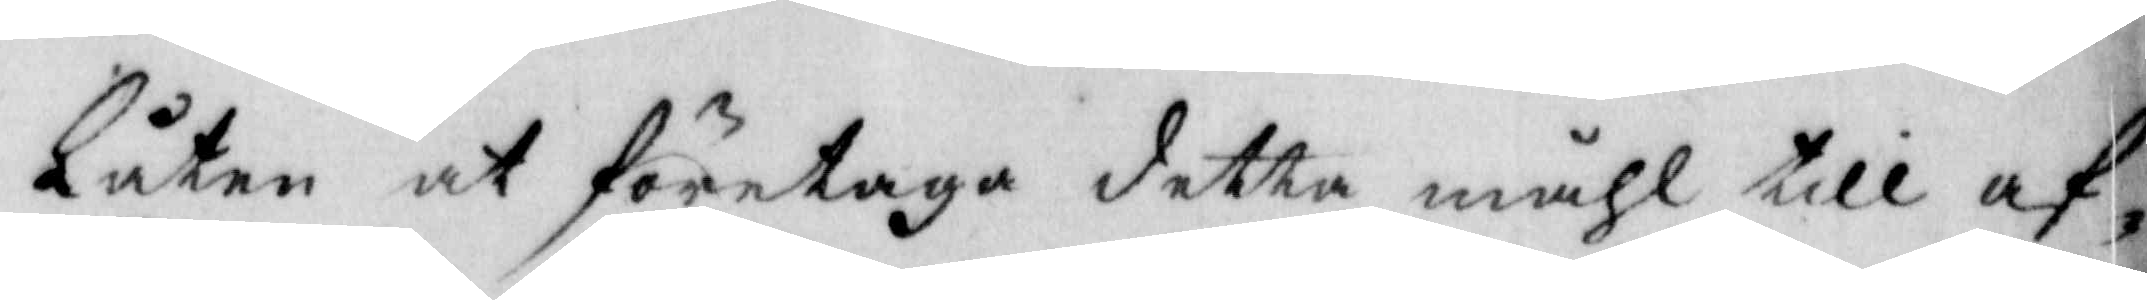låten at företaga detta måhl till af¬
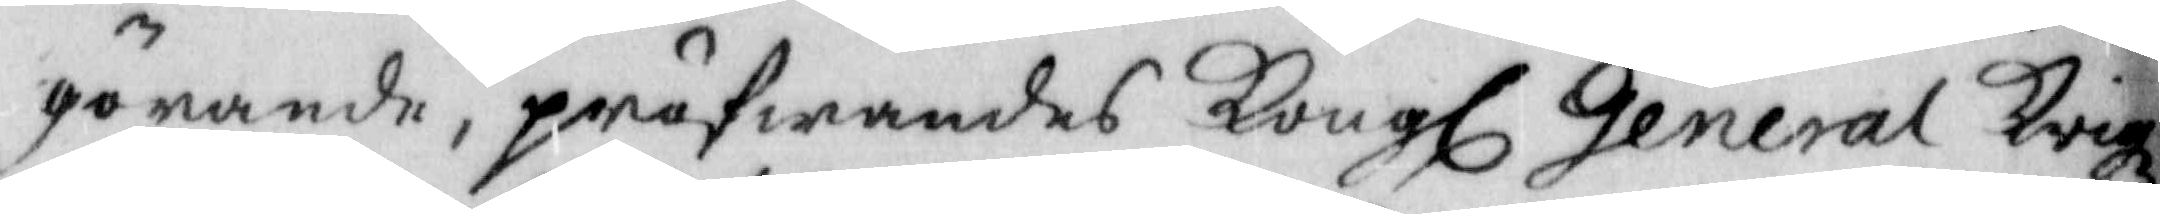görande, pröfwandes Kongl General Krigz
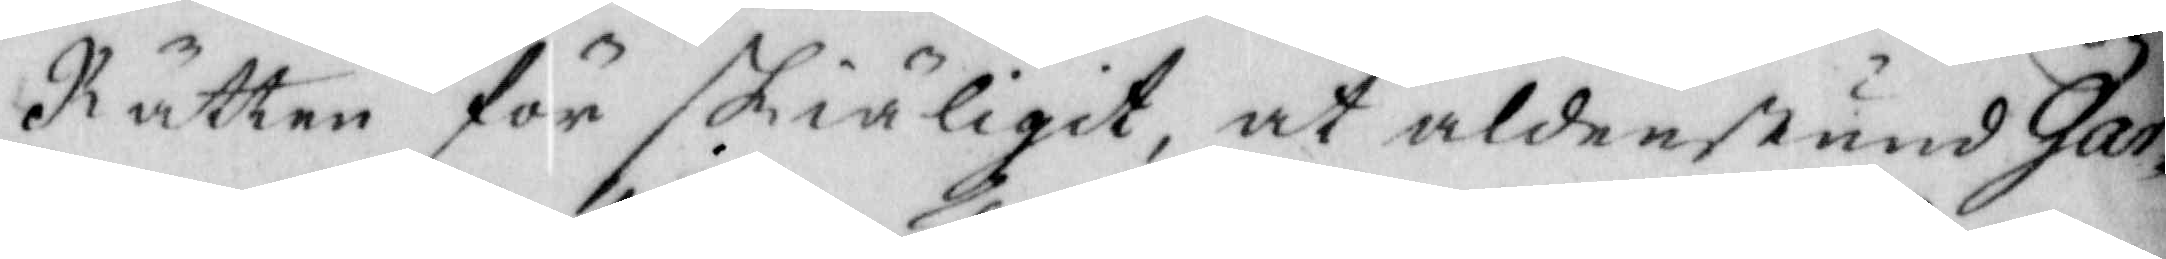Rätten för skiäligit, at aldenstund Gar¬
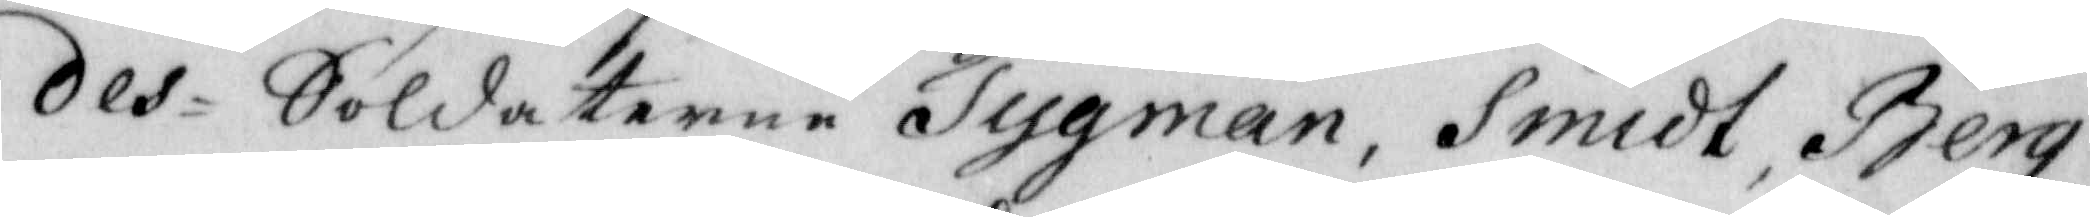des-Soldaterne Tygman, Smidt, Berg¬
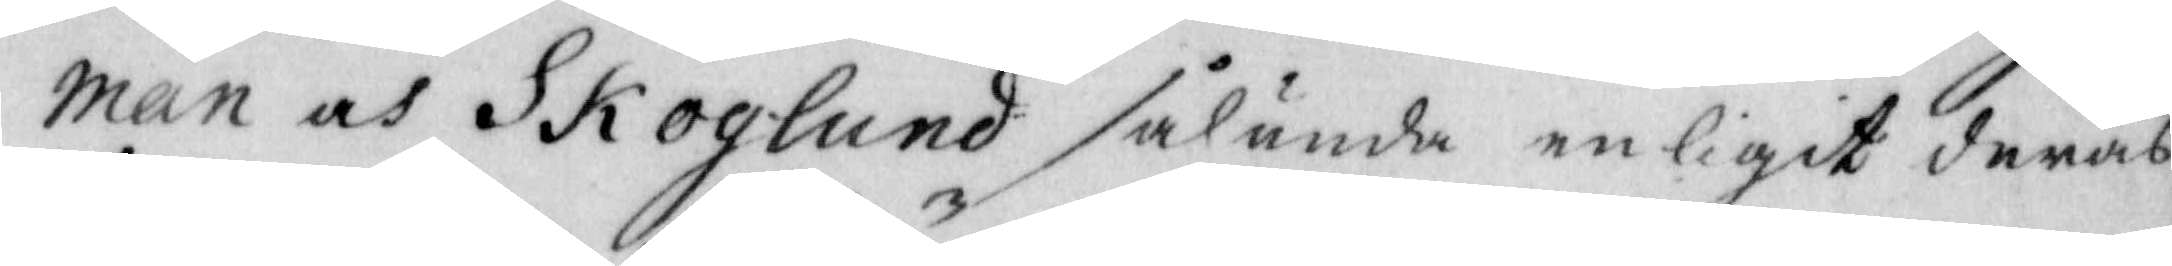man och Skoglund sålunda enligit deras
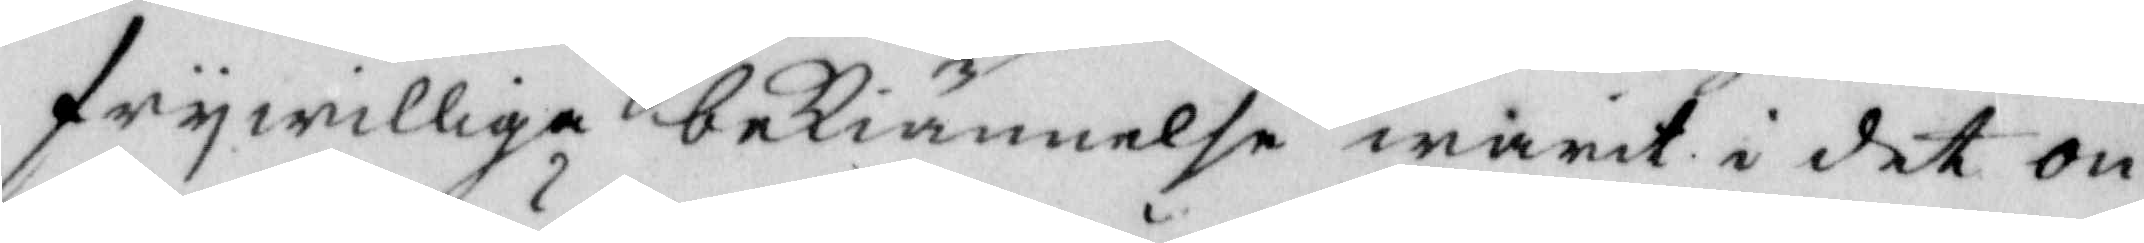frywilliga bekiännelse warit i det on¬
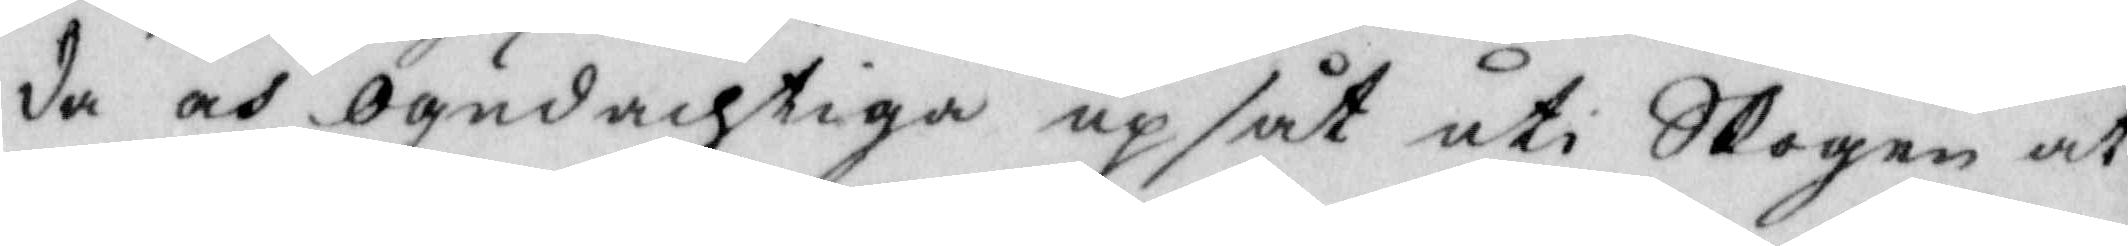da och ogudachtiga upsåt uti Skogen at
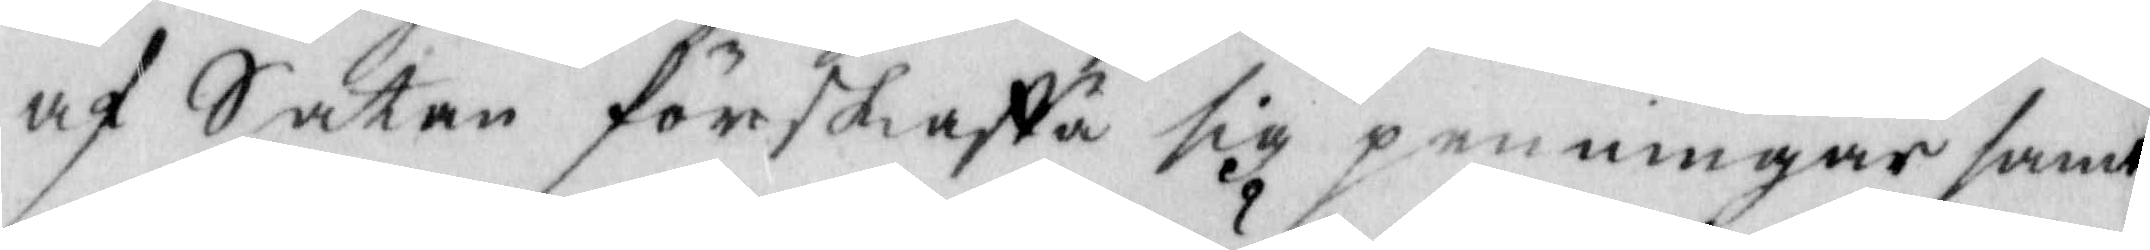af Satan förskaffa sig penningar samt
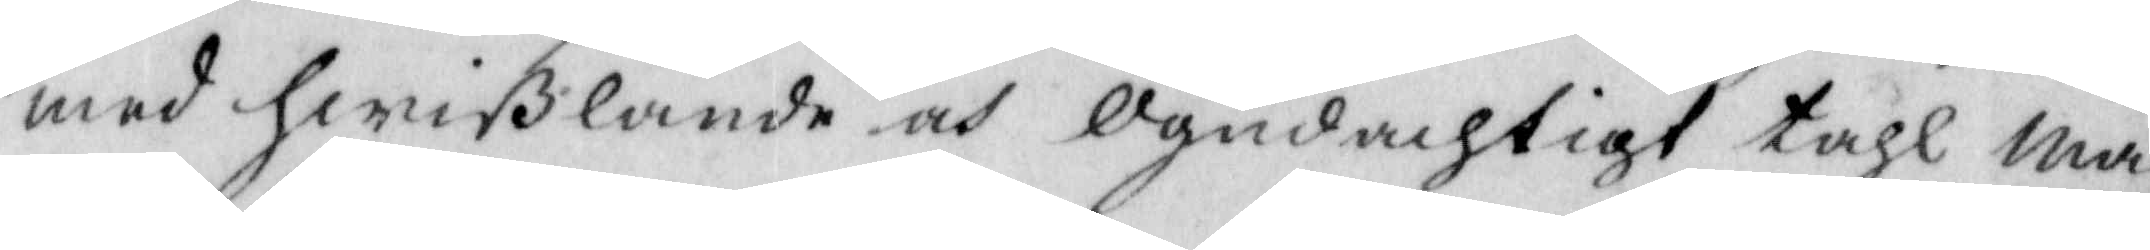med hwißlande och ogudachtigt tahl Ma¬
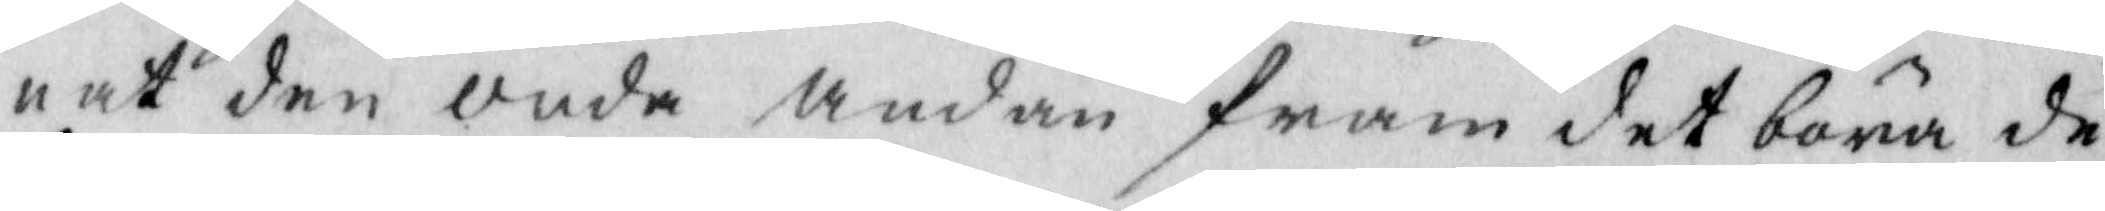nat den onda andan fram det böna de
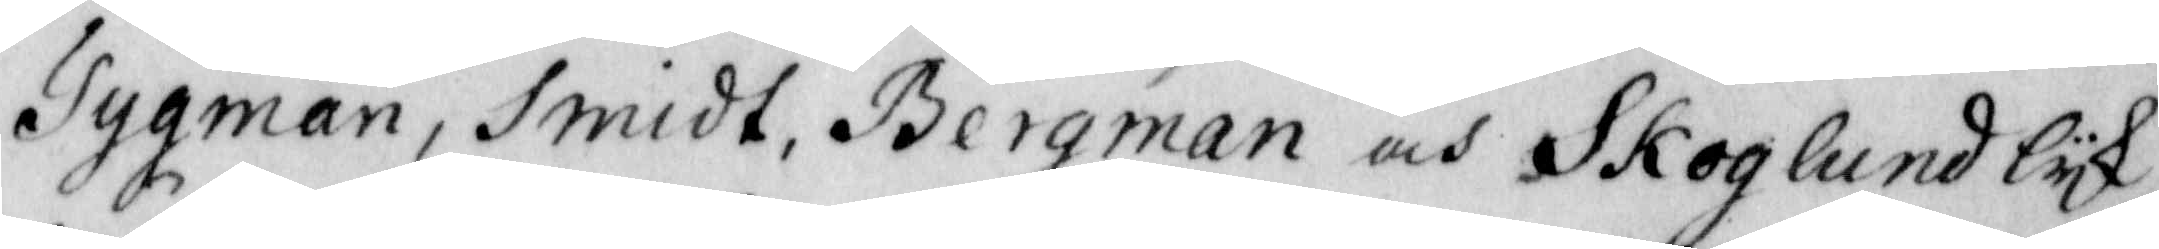Tygman, Smidt, Bergman och Skoglund lyk¬
